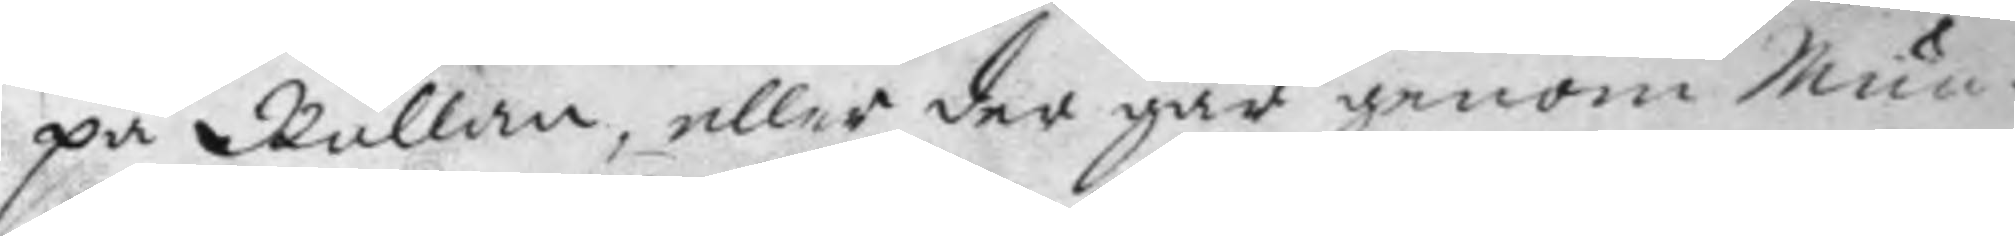på Rullan, eller der går genom Mun¬
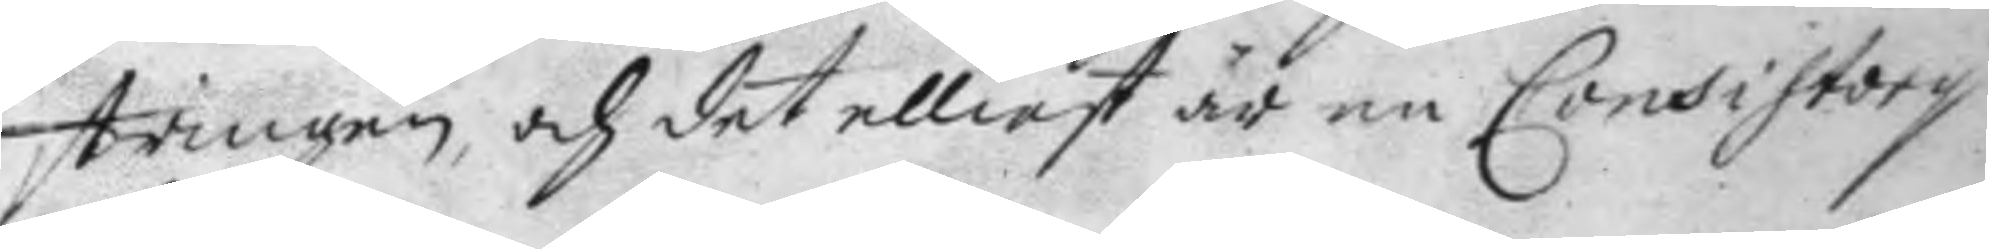stringen, och det elliest är en Consistoriy
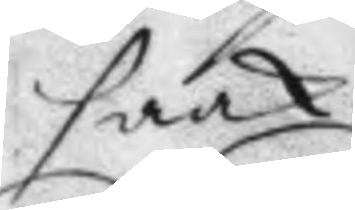saak.
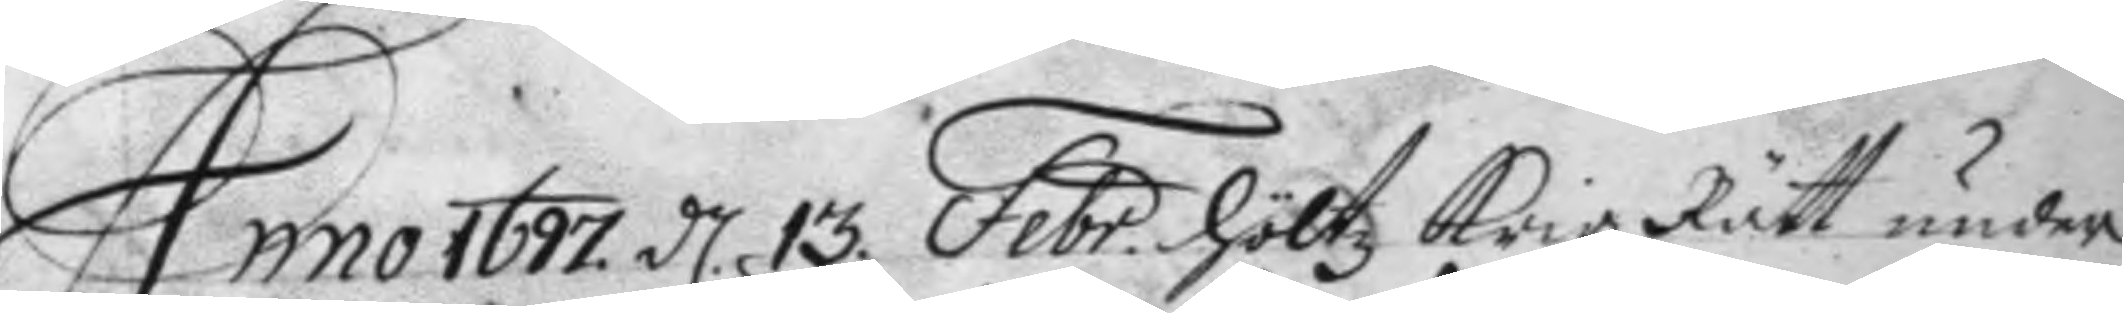Anno 1677 d 13 Febr. höltz Krigz Rätt under 
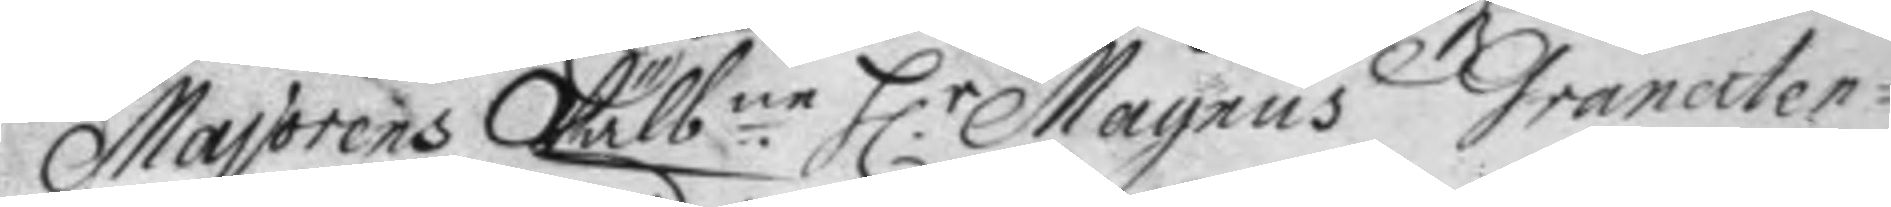Majorens Wälbne H:r Magnus Granaten¬
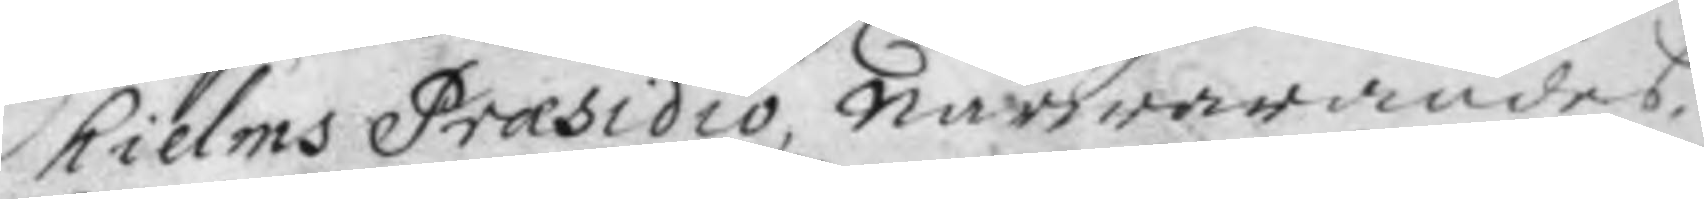hielms Præsidio, närwarandes
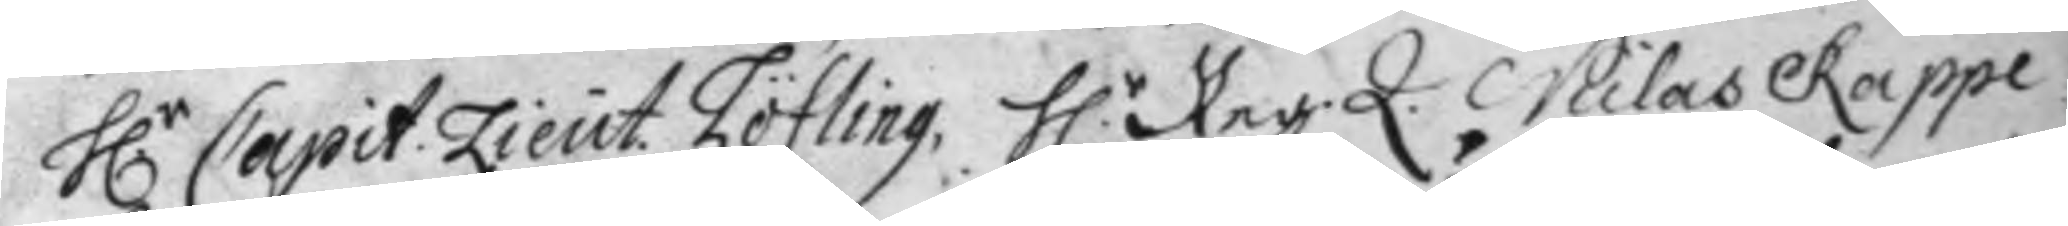H.r Capit: Lieut. Löfling, H.r Reg. Q. Niclas Rappe 
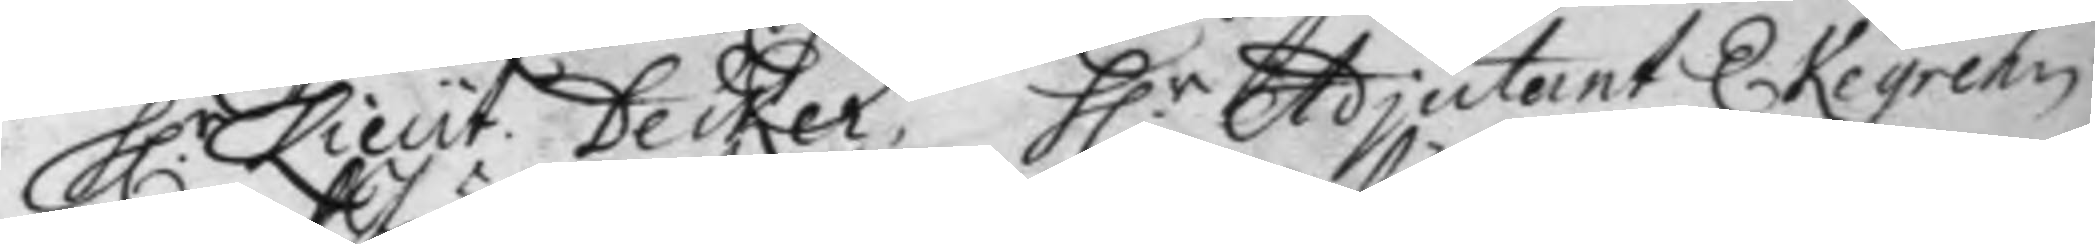H.r Lieut: Decker, H.r Adjutant Ekegrehn 
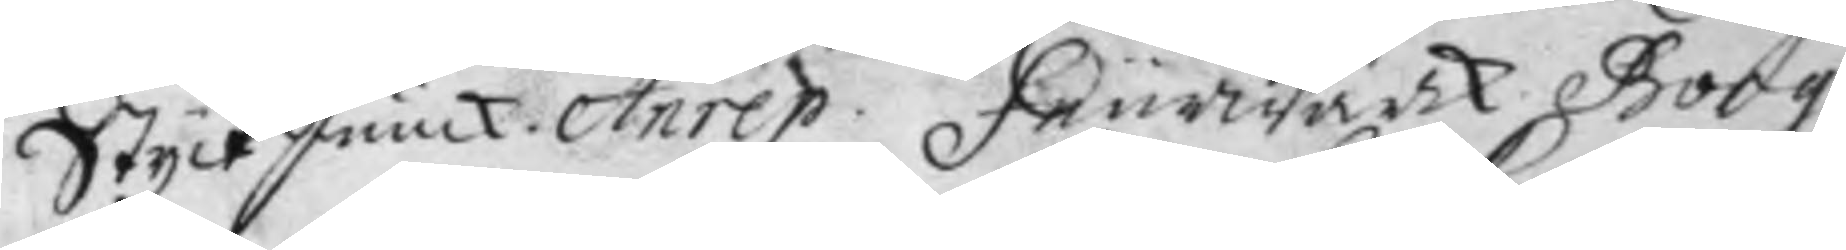Styck Junck. Anrep: Feurwärk Borg.
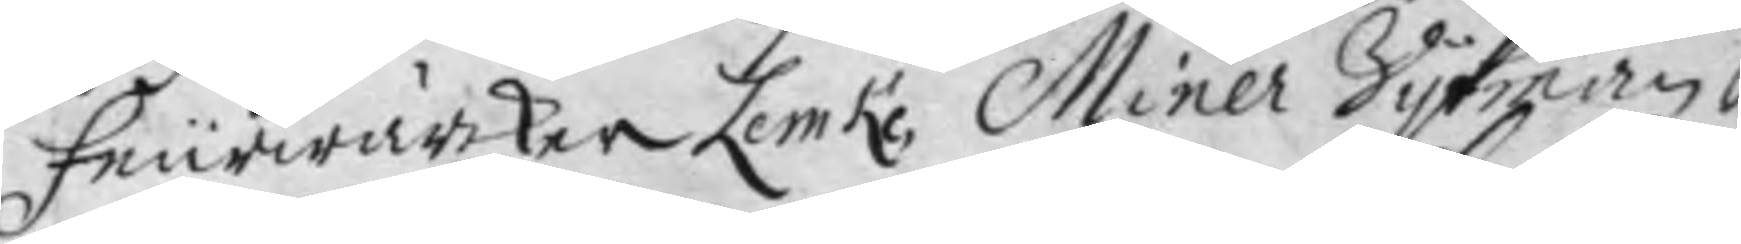Feurwärker Lemke, Miner Vykman, 
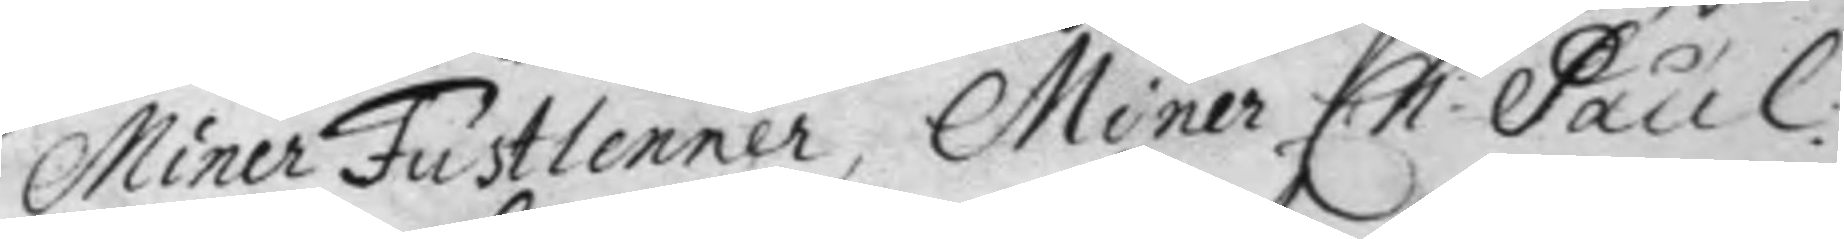Miner Fustlenner, Miner Ch: Paul: 
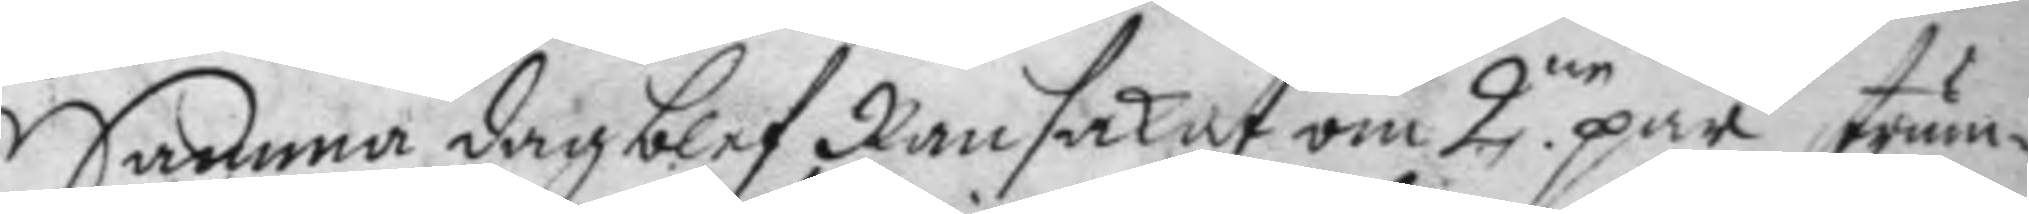Samma dag blef Ransakat om 2ne par strum¬
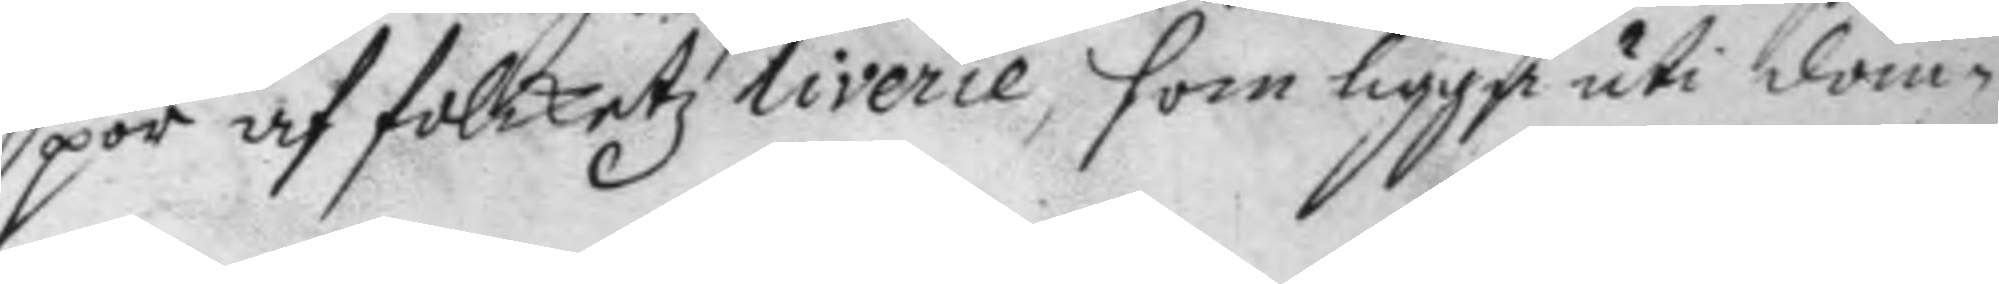por af folketz liverie, som ligga uti dom¬
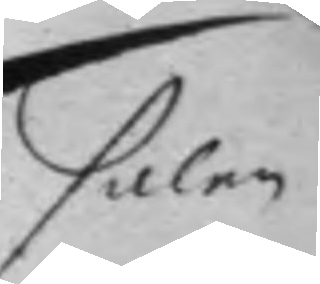salen
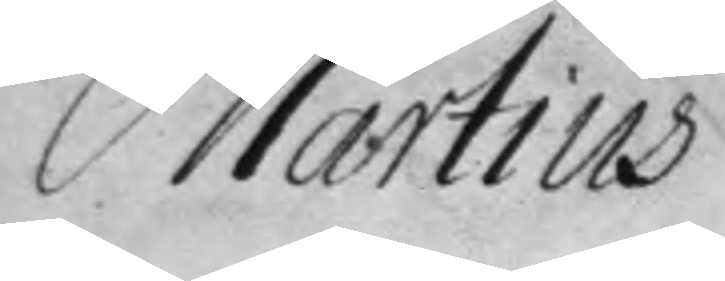Martius
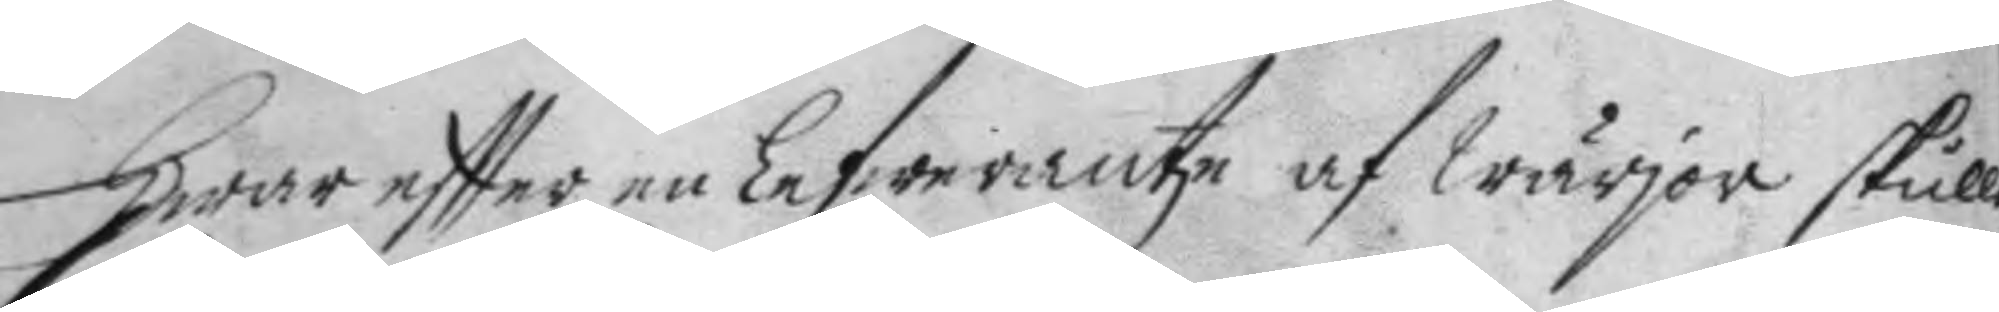Hwar eftter en Lefwerantze af wärjor skulle
